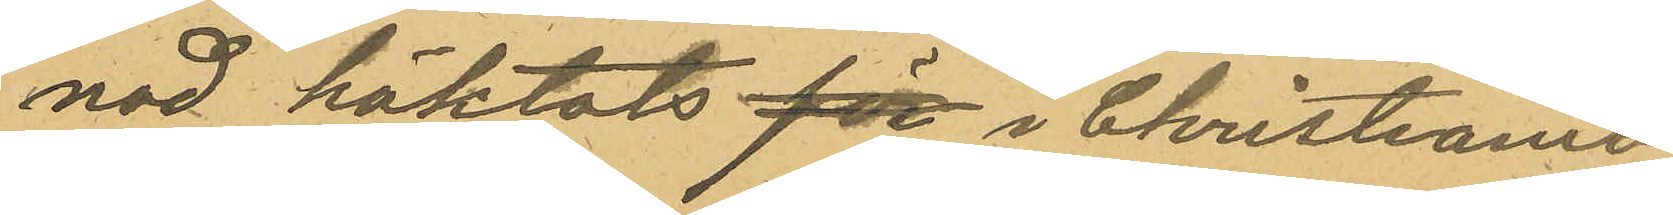nad häktats för i Christiania
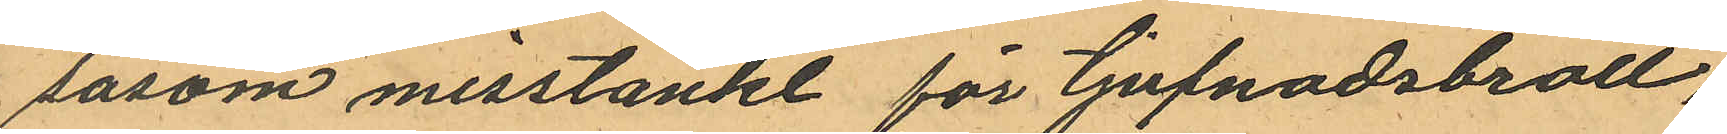såsom misstänkt för tjufnadsbrott,
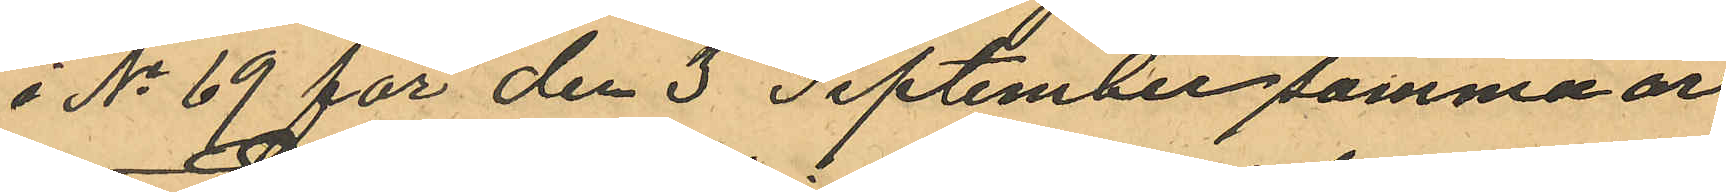i No 69 för den 3 September samma år
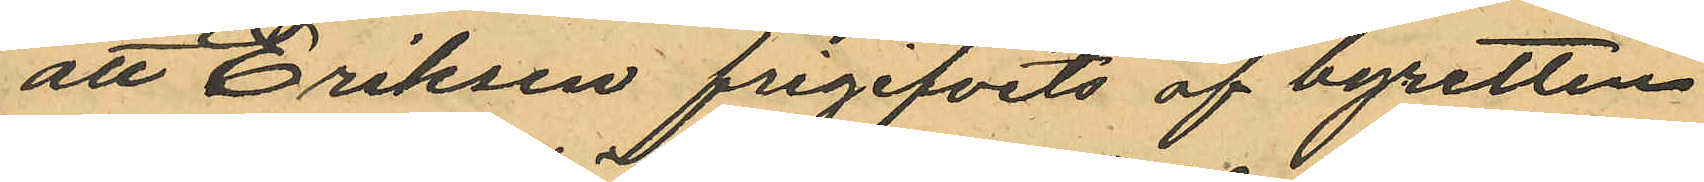att Eriksen frigifvits af byretten
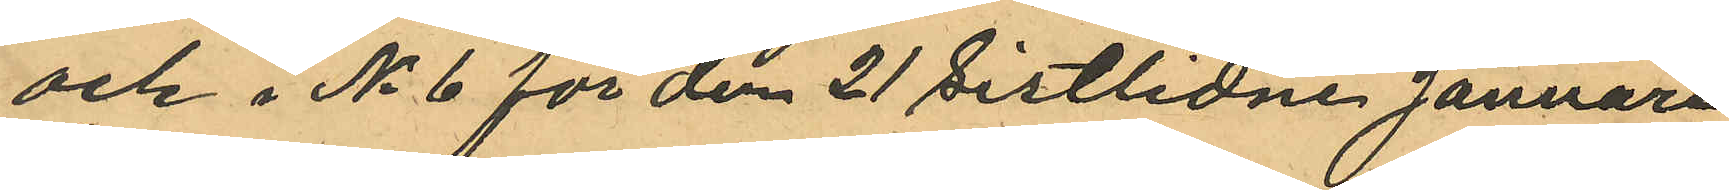och i No 6 för den 21 sistlidne Januari
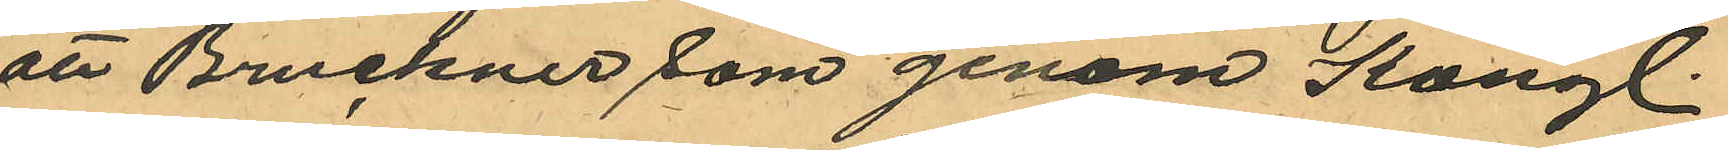att Bruckner som genom Kongl.
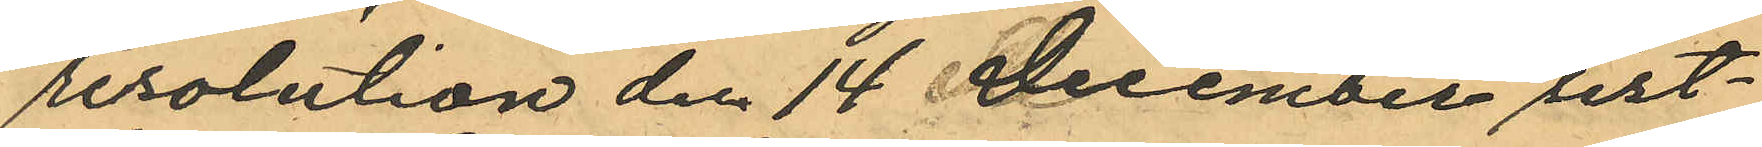resolution den 14 December sist¬
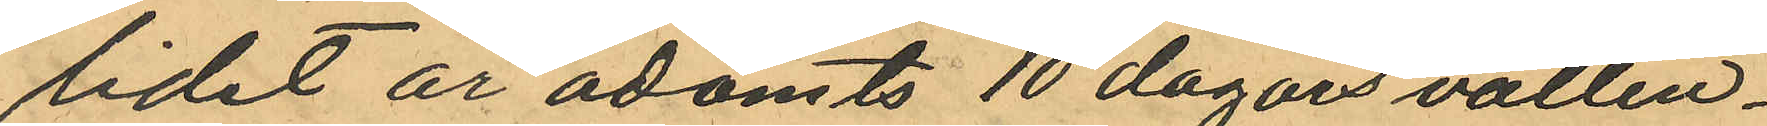lidet år ådömts 10 dagars vatten-
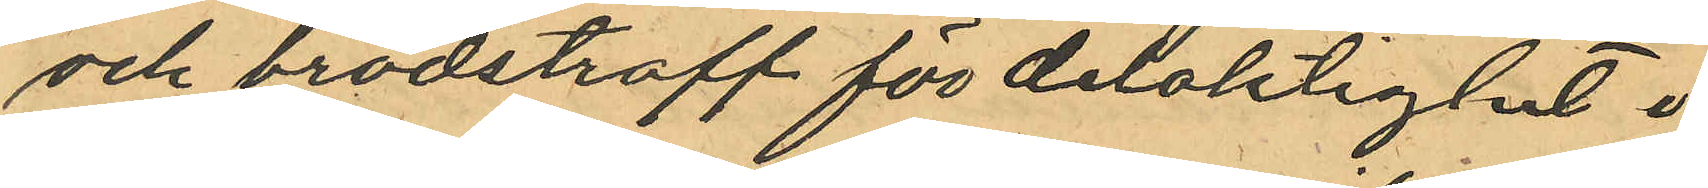och brödstraff för delaktighet i
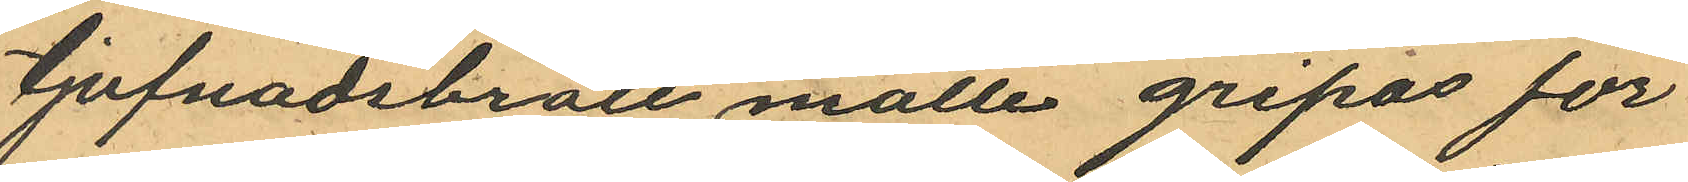tjufnadsbrott måtte gripas för
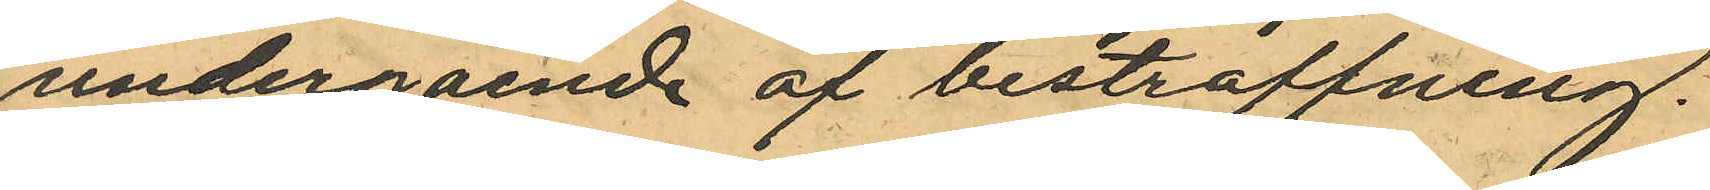undergående af bestraffning.
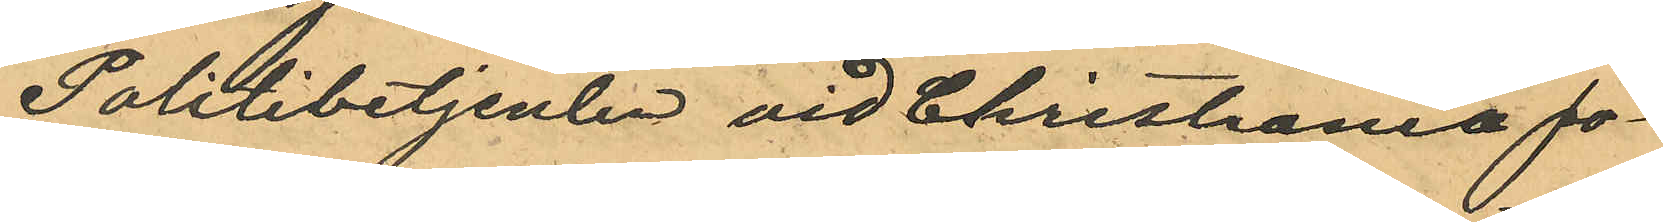Politibetjenten vid Christiania po¬
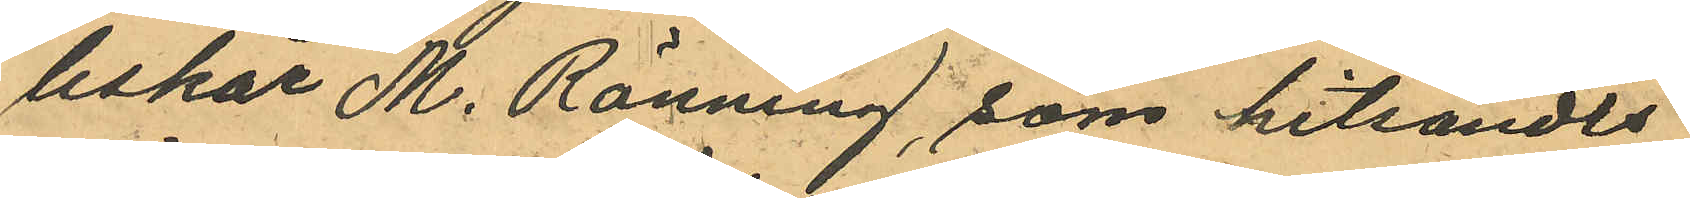liskår M. Ränning, som hitsändts
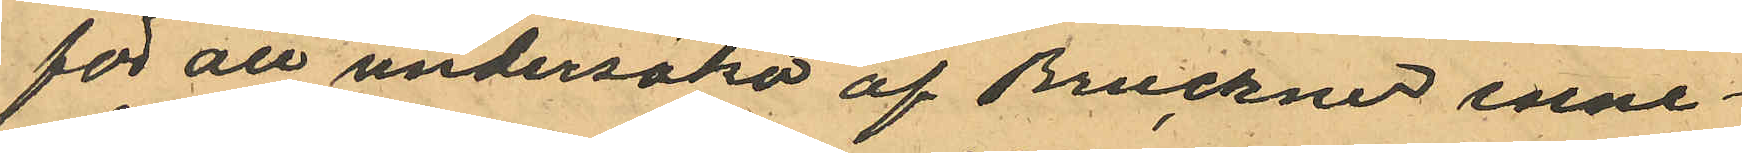för att undersöka af Bruckner inne¬
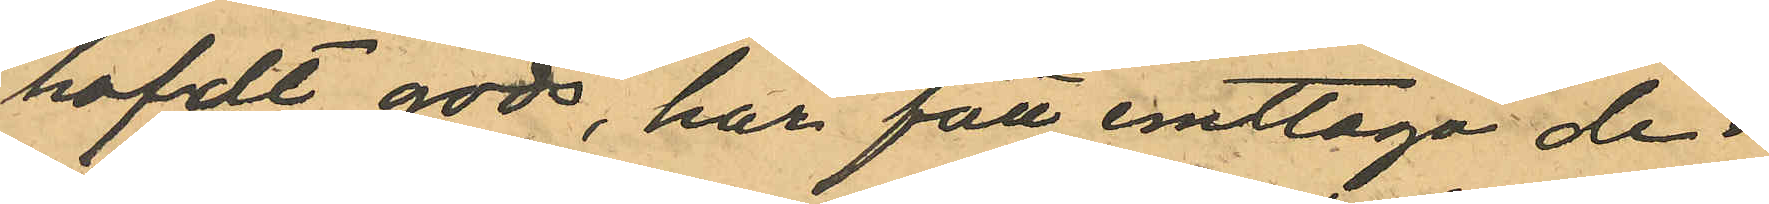hafdt gods, har fått emttaga de i
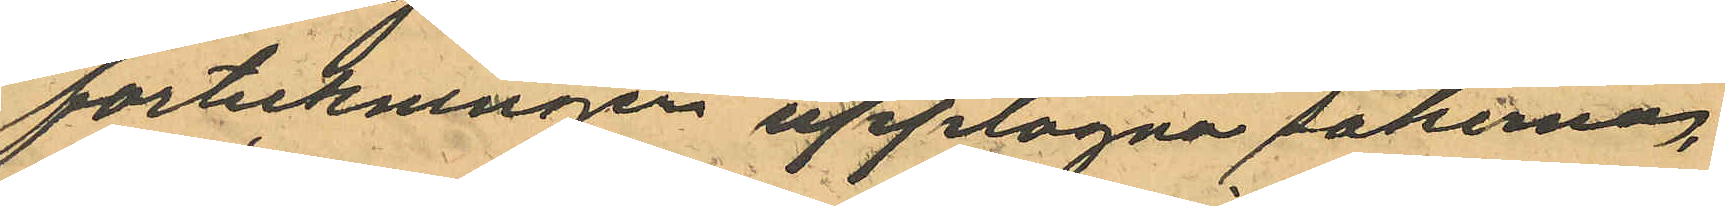förteckningen upptagna sakerna,
